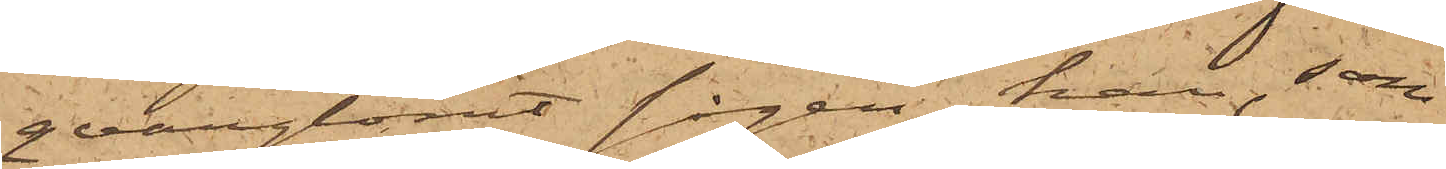qvarglömt sågen, han, som
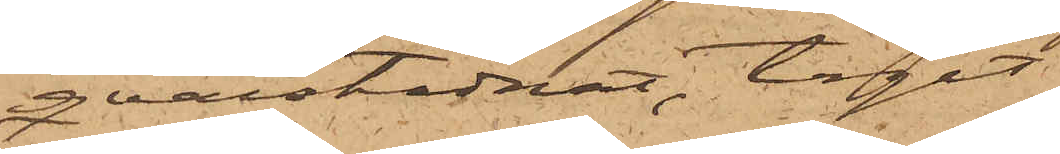qvarstadnat, tagit
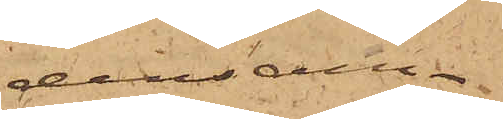densam¬
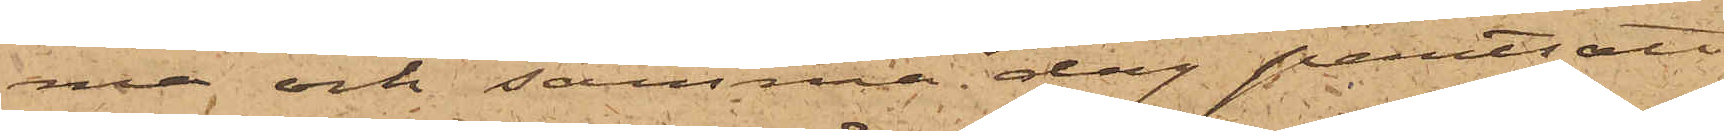ma och samma dag pantsatt
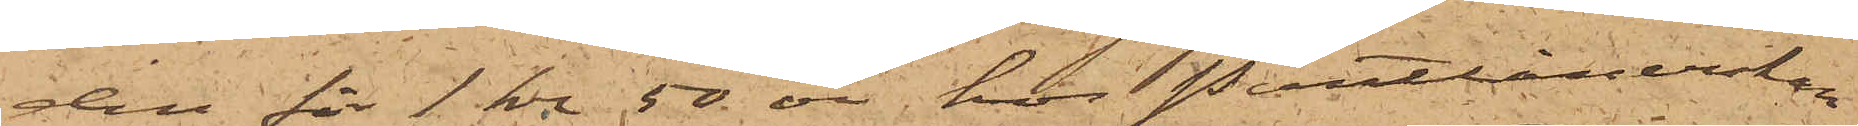den för 1 kr 50 öre hos Pantlånerskan
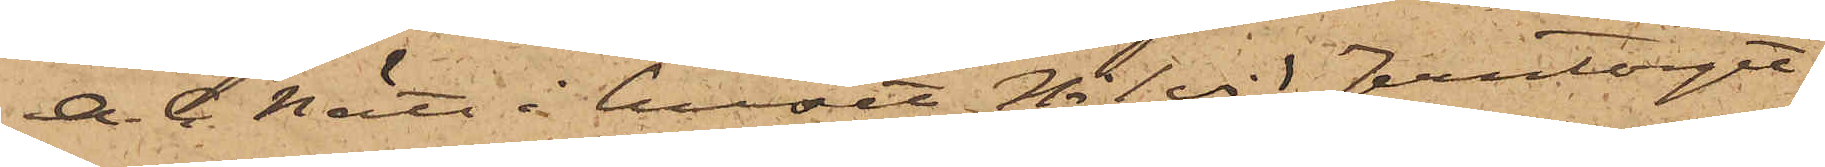A. C. Nätt i huset No 1 vid Jerntorget.
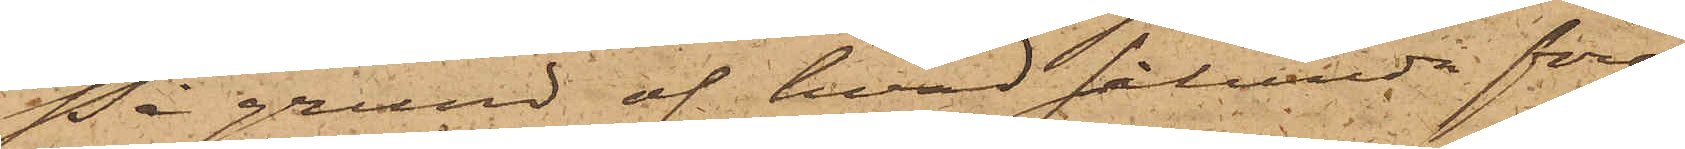På grund af hvad sålunda före¬
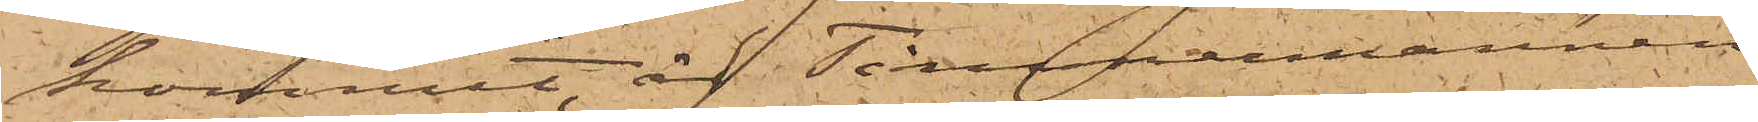kommit, är Timmermannen
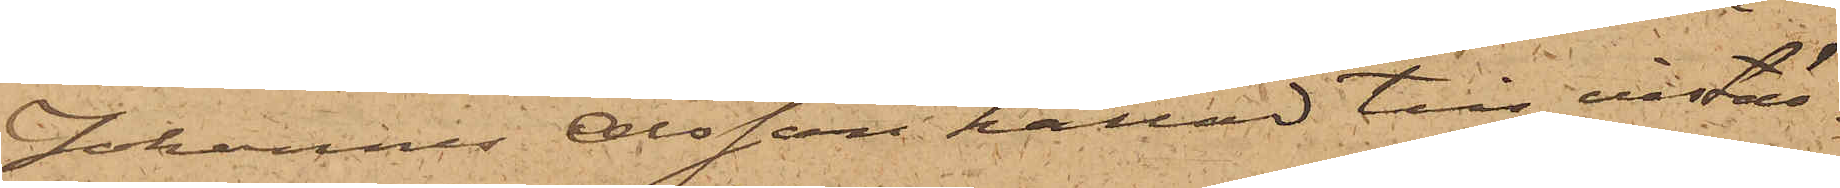Johannes Olsson kallad till instäl¬
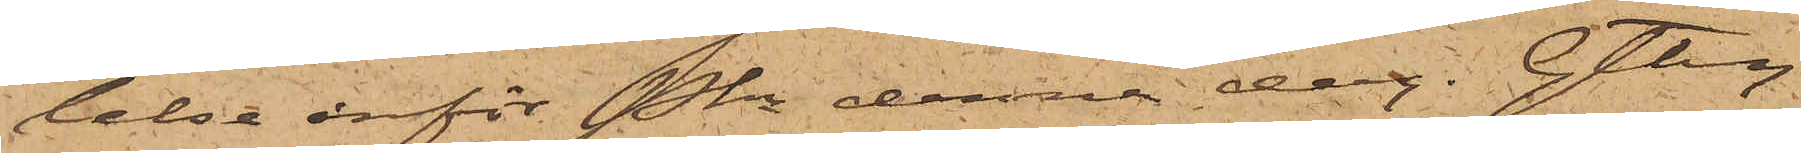lelse inför Pkn denna dag. Gtbg
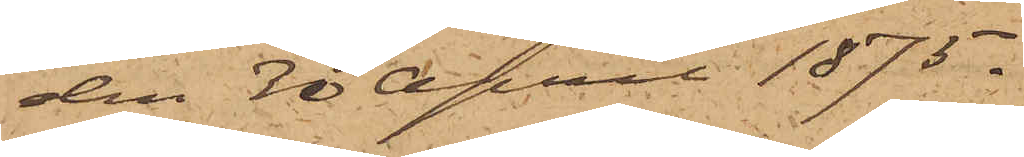den 30 April 1875.
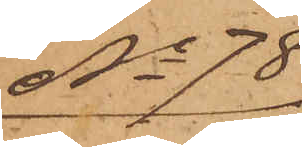No 78
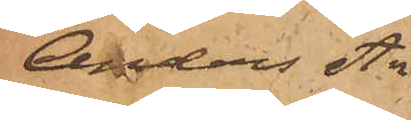Anders An¬
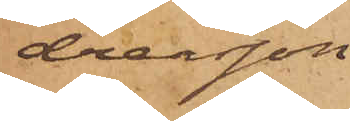dreasson
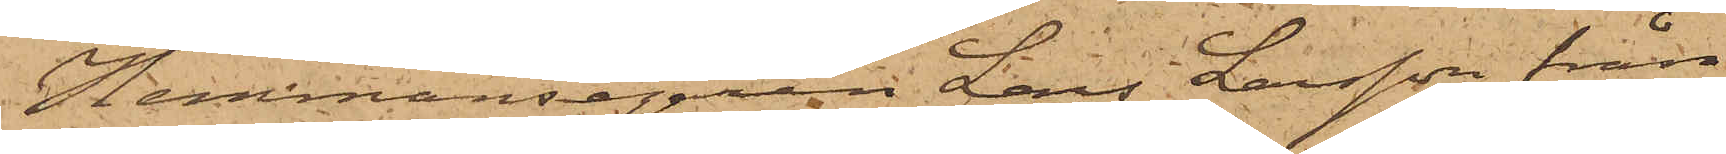Hemmansegaren Lars Larsson från
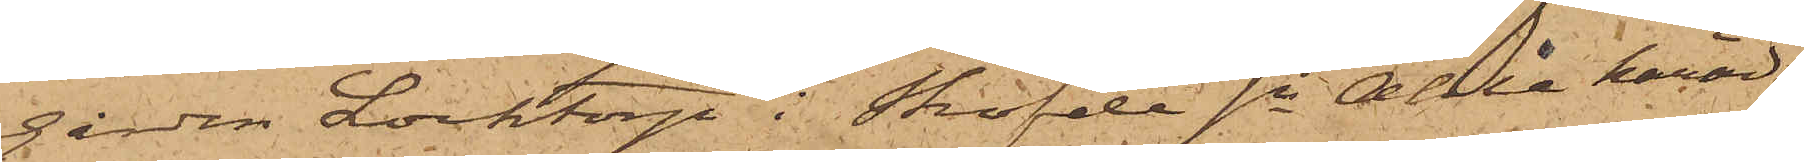gården Locktorp i Sköfde sn Ahle härad
